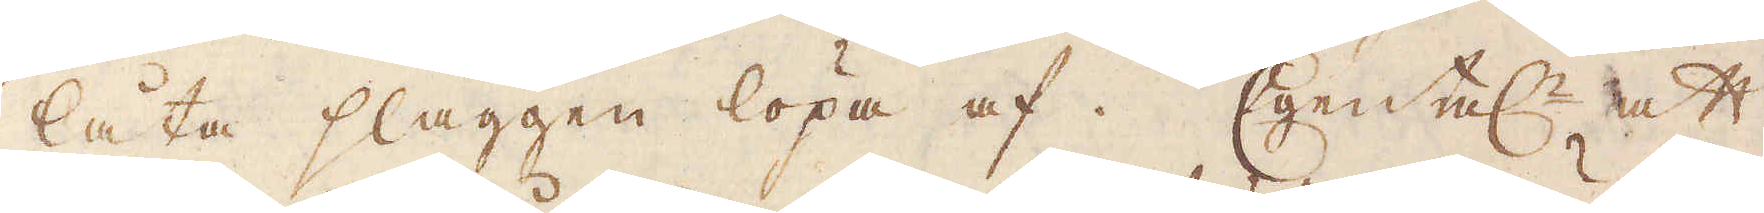låta slaggen löpa af. Egentel:n att
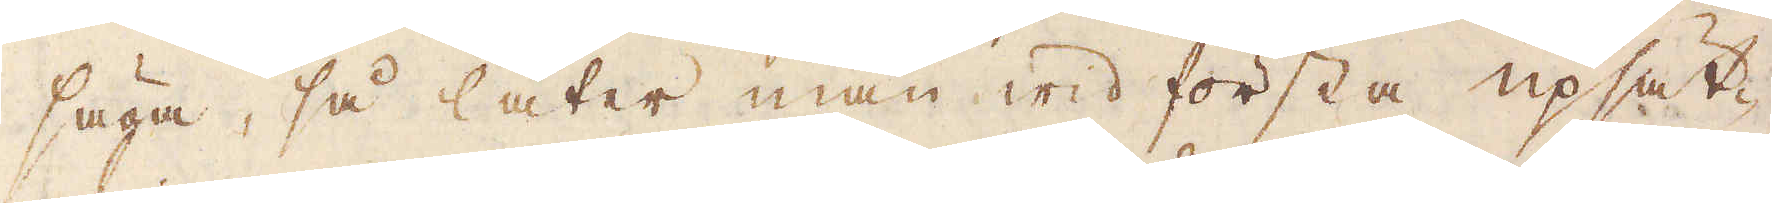säga, så låter man wid första upsät-
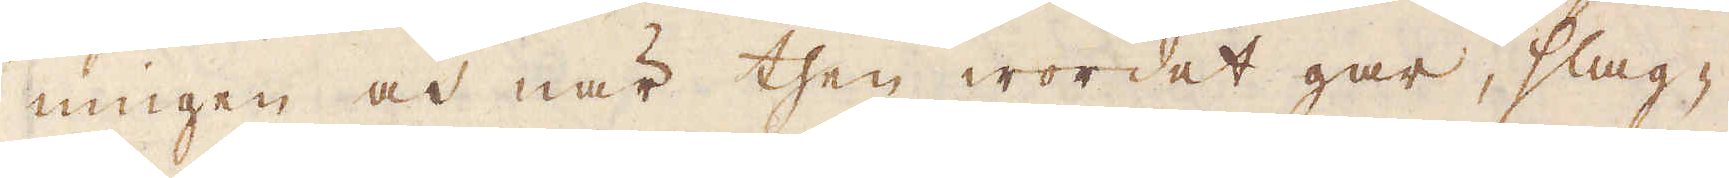ningen och när then wordet gar, slag-
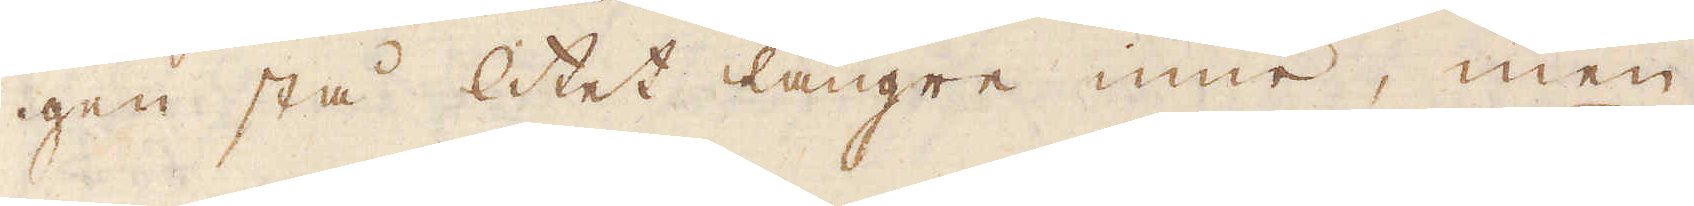gen stå litet längre inne, men
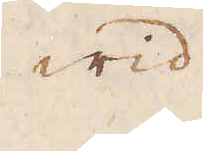wid
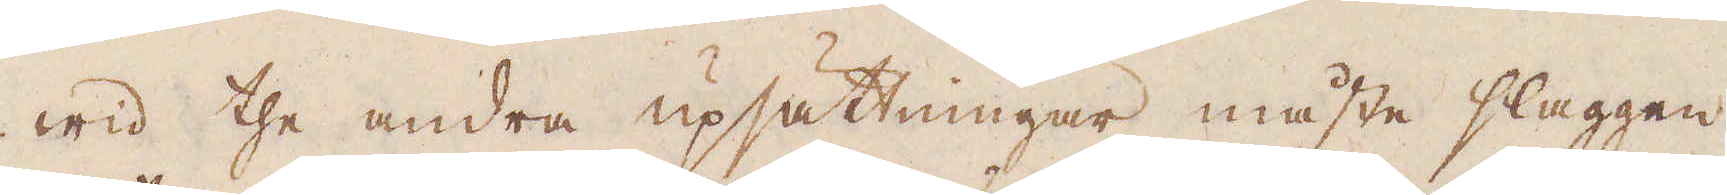wid the andra upsättningar måste slaggen
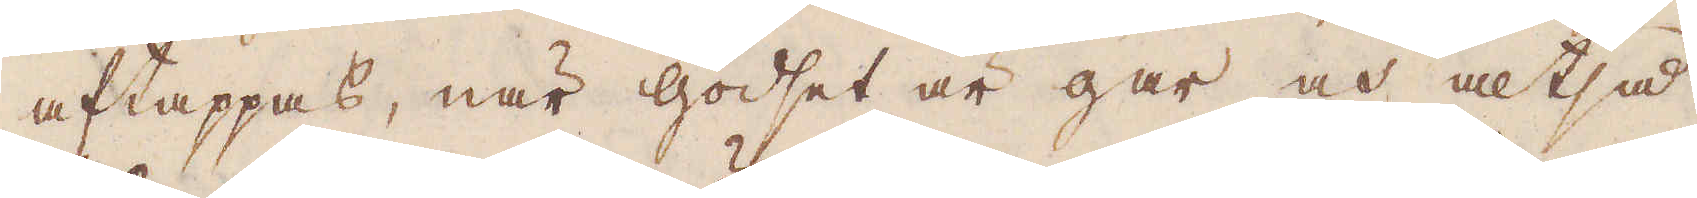aftappas, när godset är gar och altså
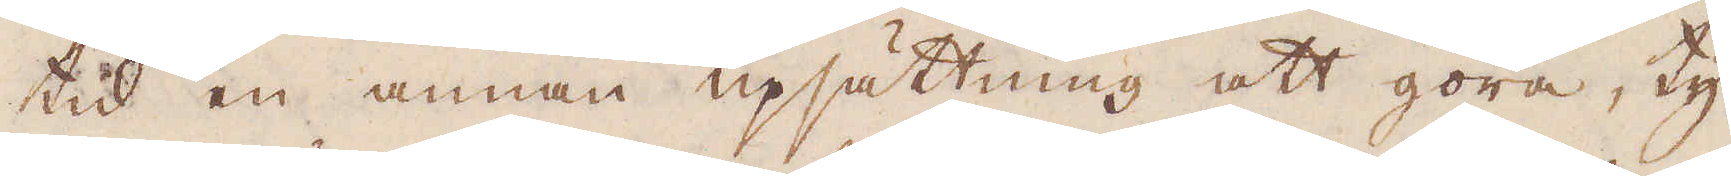tid en annan upsättning att göra, ty
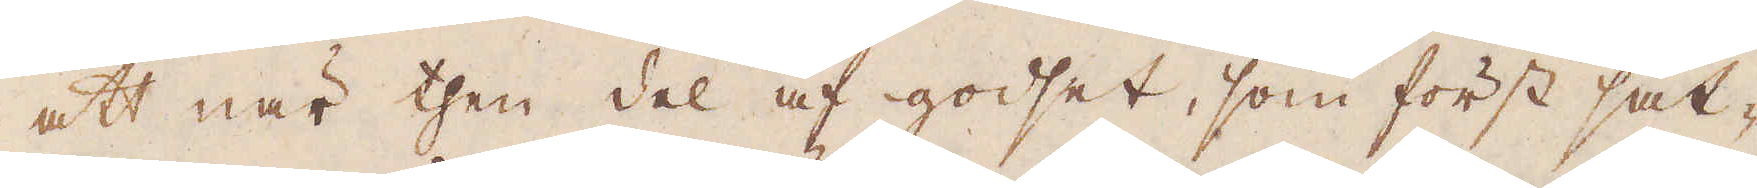att när then del af godset, som först sät-
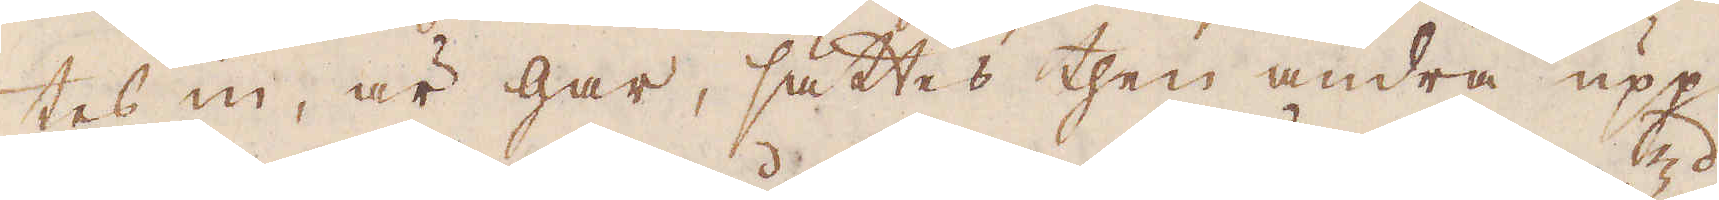tes in, är gar, sättes then andra upp,
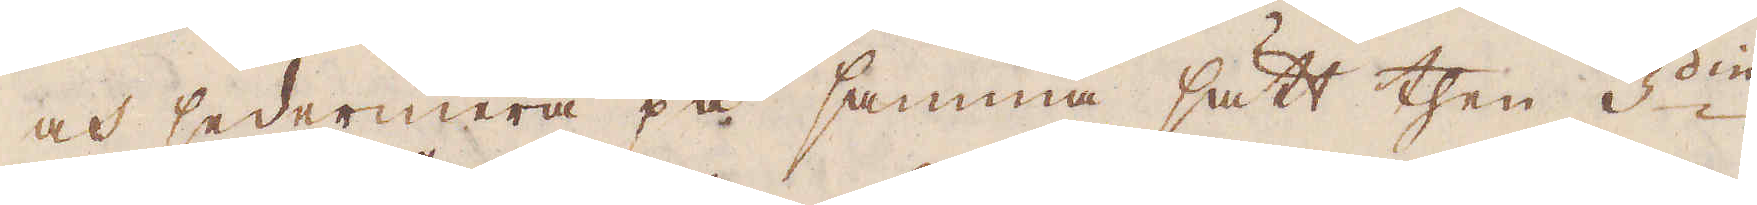och sedermera på samma sätt then 3:die
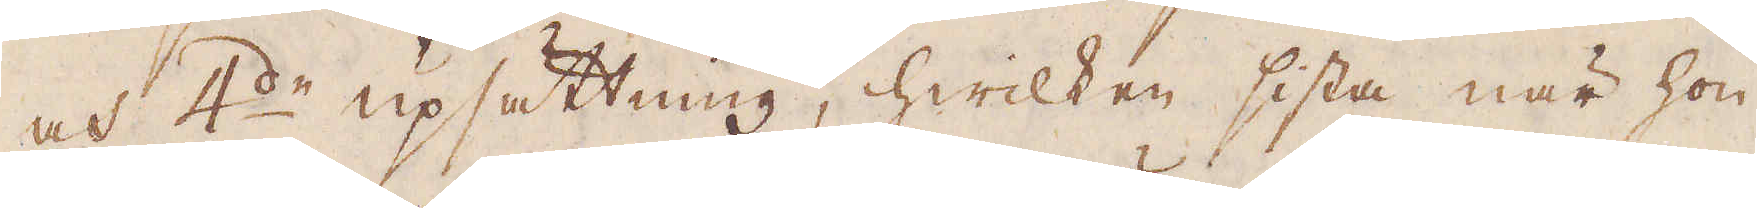och 4:de upsättning, hwilken sista när hon
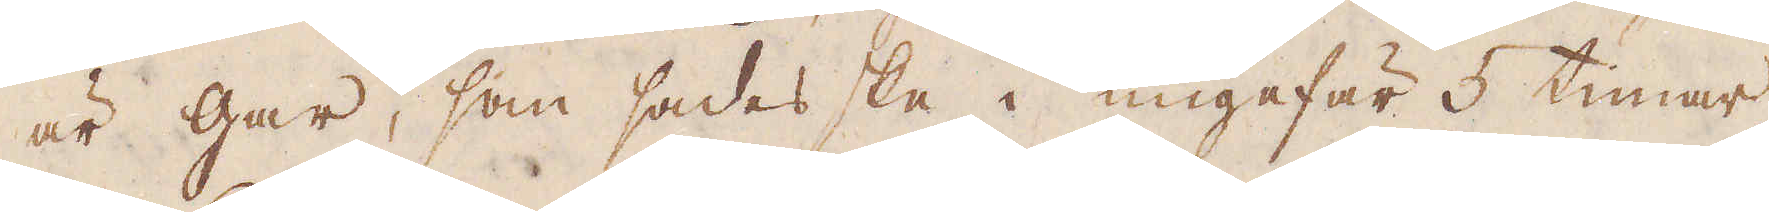är gar, som sades ske i ungefär 5 timar,
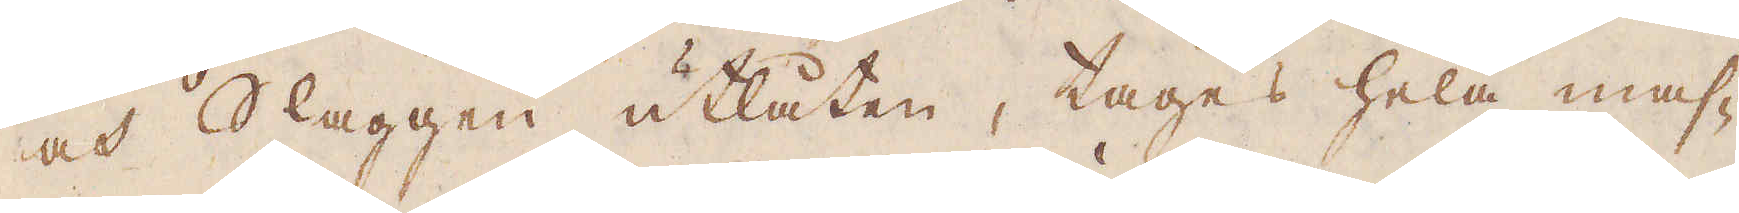och Slaggen utlåten, tages hela mas-
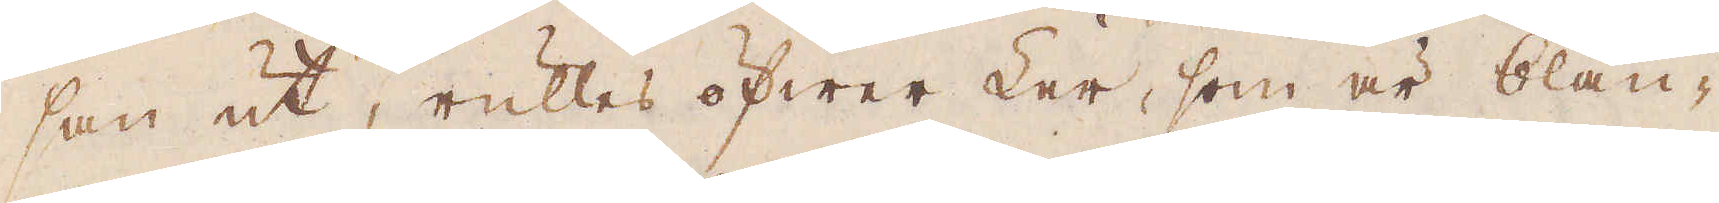san ut, rulles öfwer Ler, som är blan-
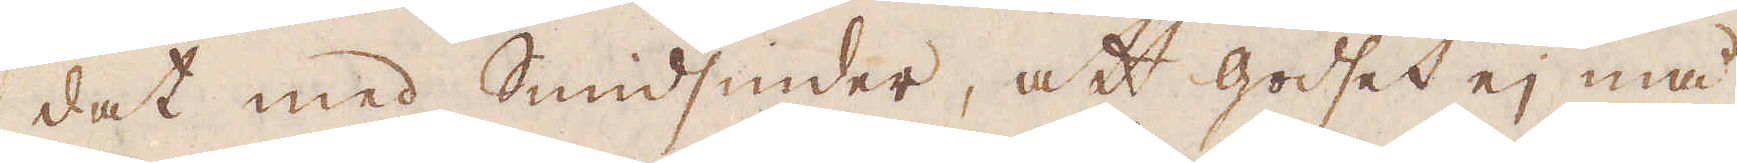dat med Smidsinder, att godset ej må
